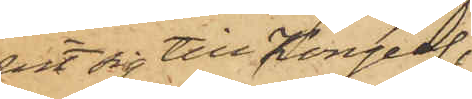vit sig till Kongelf,
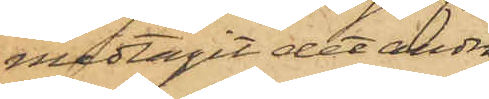medtagit det andra
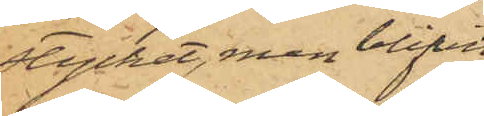stycket, men blifvit
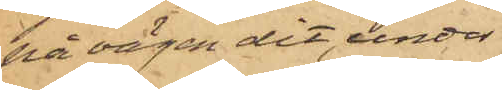på vägen dit, under
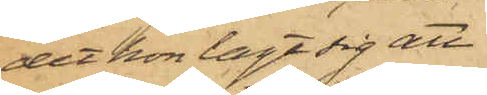det hon lagt sig att
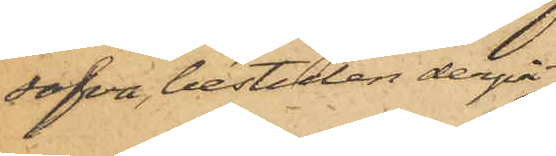sofva, bestulen derpå;
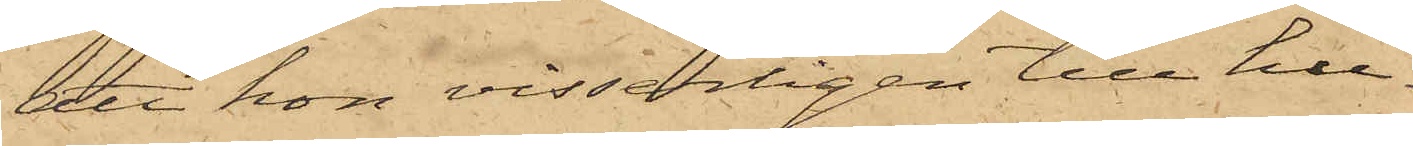att hon visserligen till hu¬
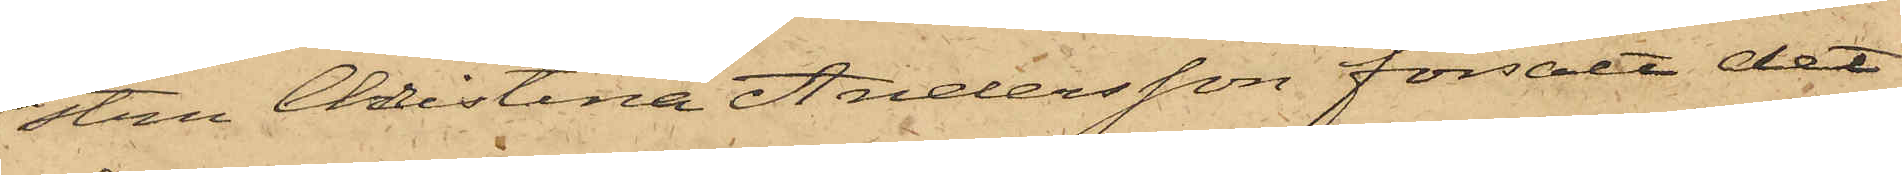stru Christina Andersson försålt det
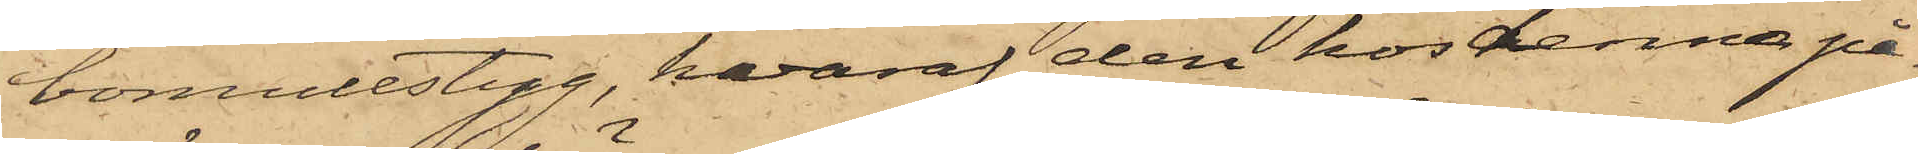bomullstyg, hvaraf den hos denna på¬
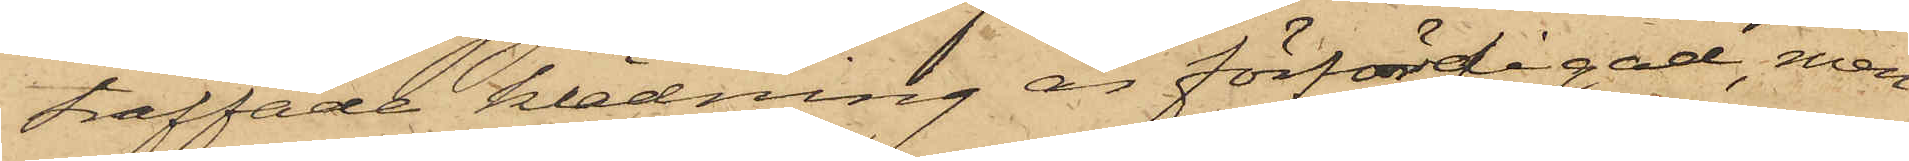träffade klädning är förfärdigad, men
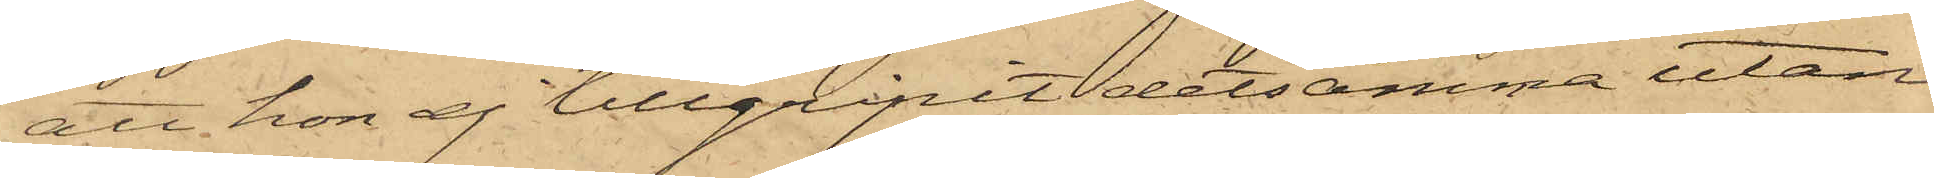att hon ej tillgripit detsamma utan
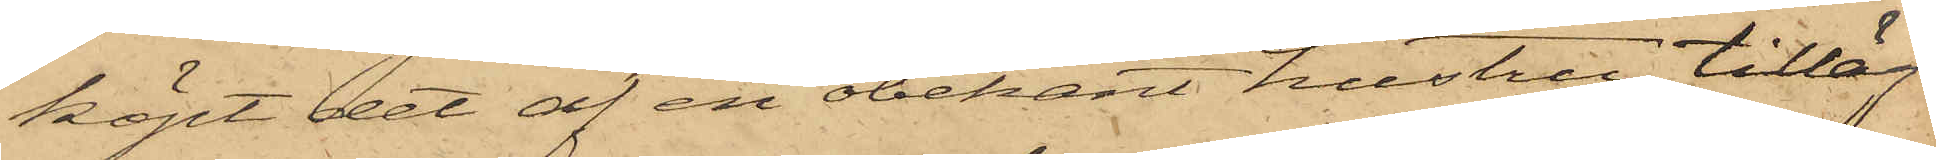köpt det af en obekant hustru; tilläg¬
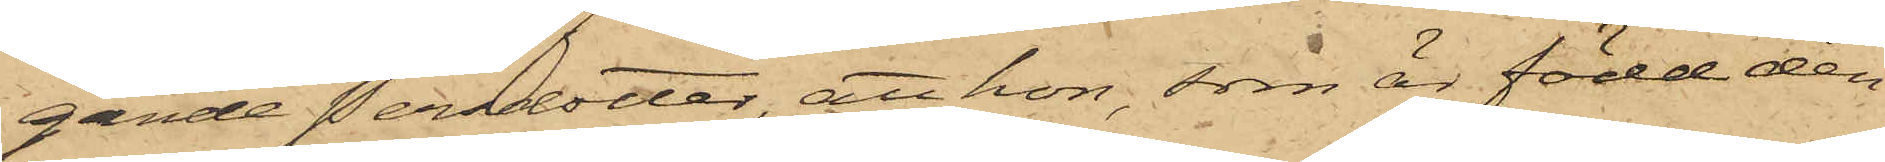gande Persdotter, att hon, som är född den
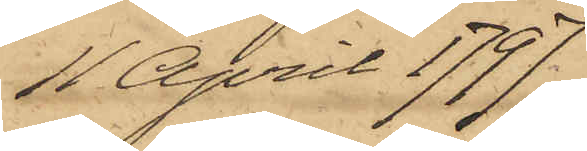11 April 1797
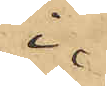i
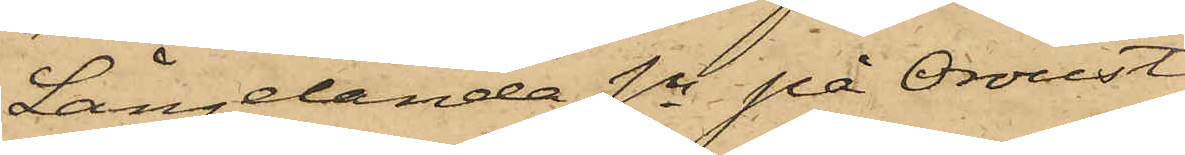Långelanda Sn på Oroust,
